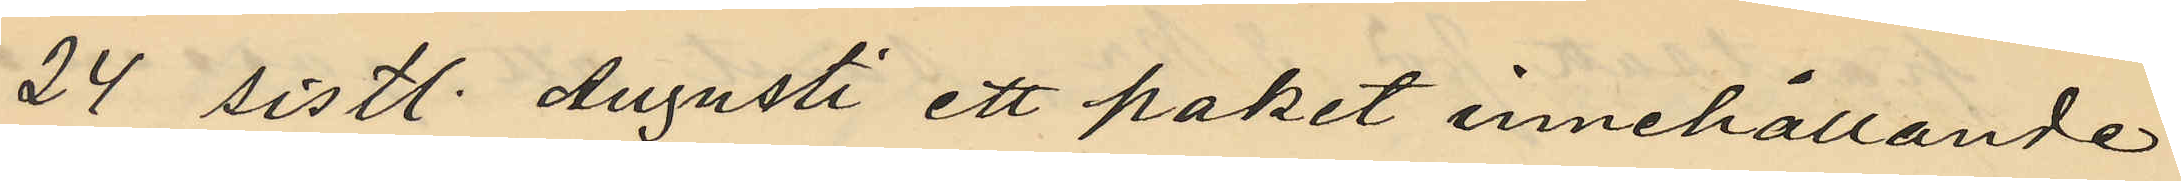24 sistl. Augusti ett paket innehållande
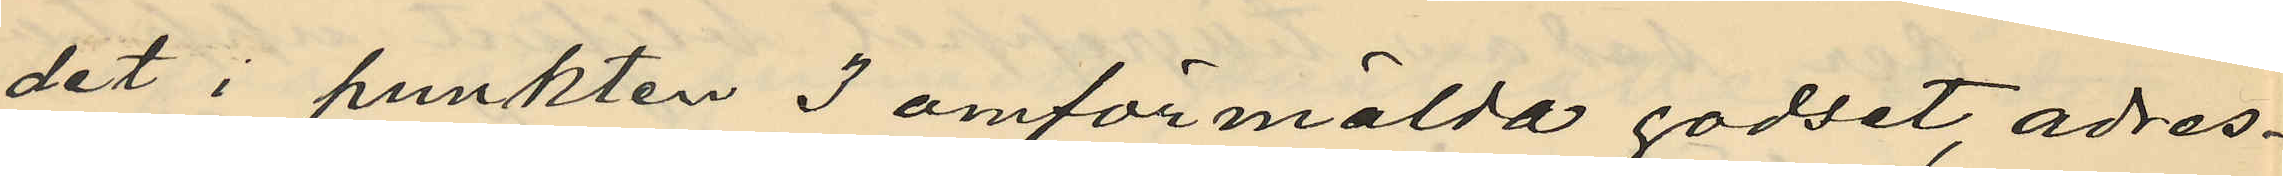det i punkten 3 omförmälda godset, adres¬
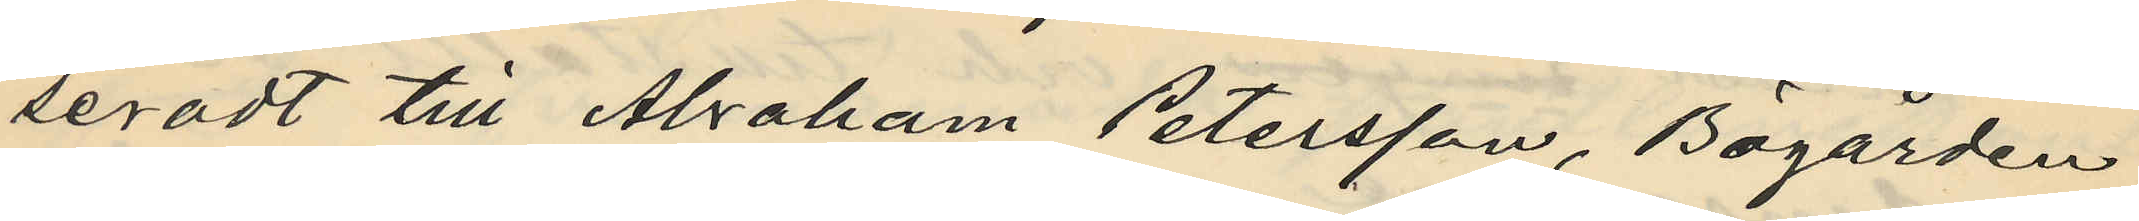seradt till Abraham Petersson, Bögården
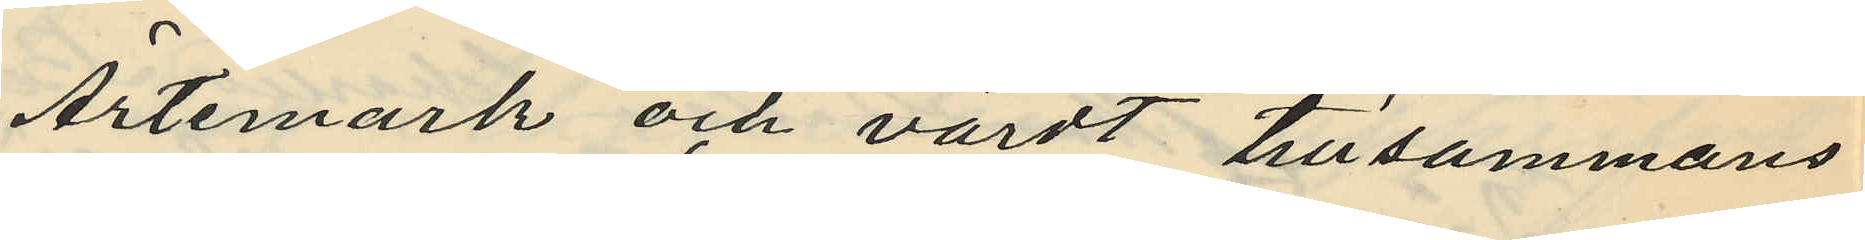Ärtemark och värdt tillsammans
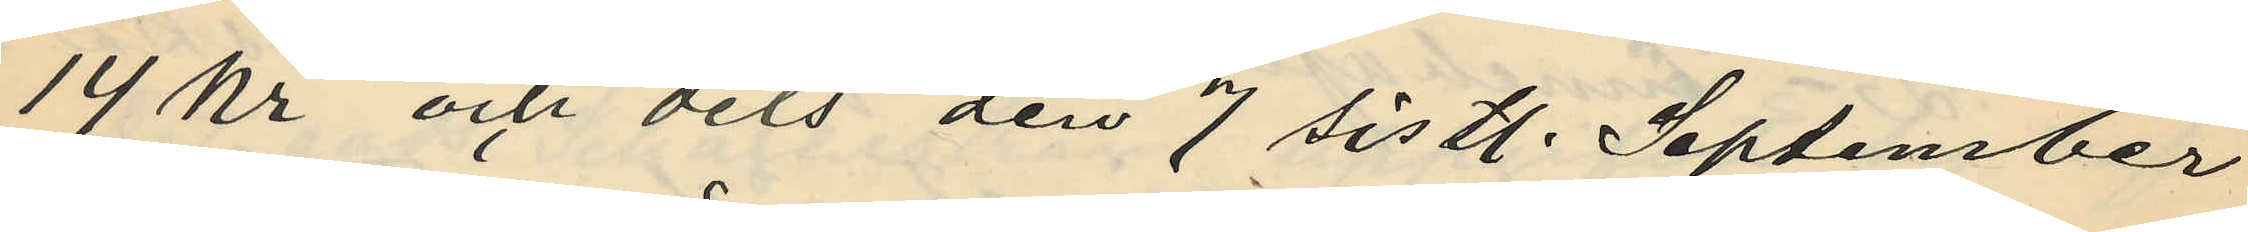14 kr och dels den 7 sistl. September
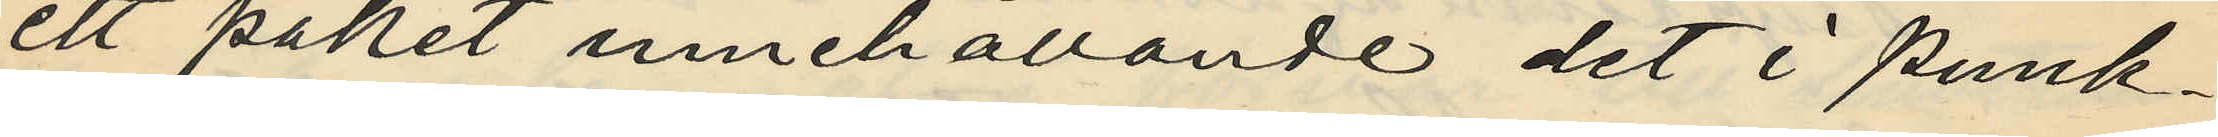ett paket innehållande det i punk¬
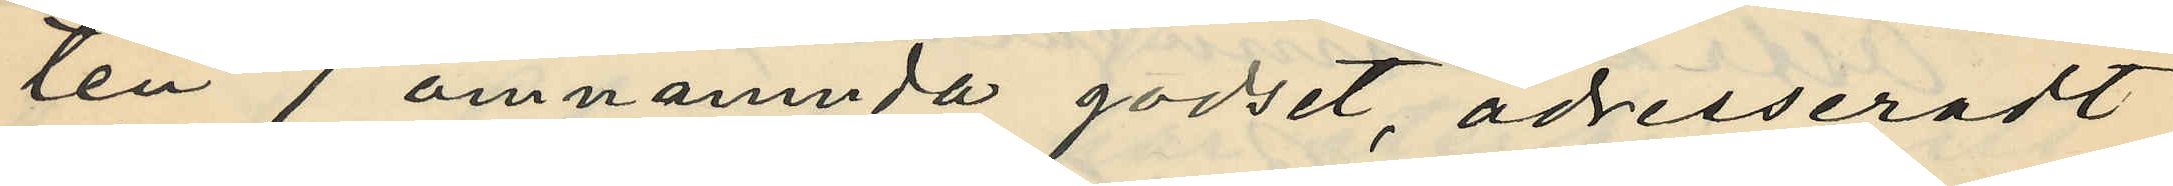ten 7 omnämnda godset, adresseradt
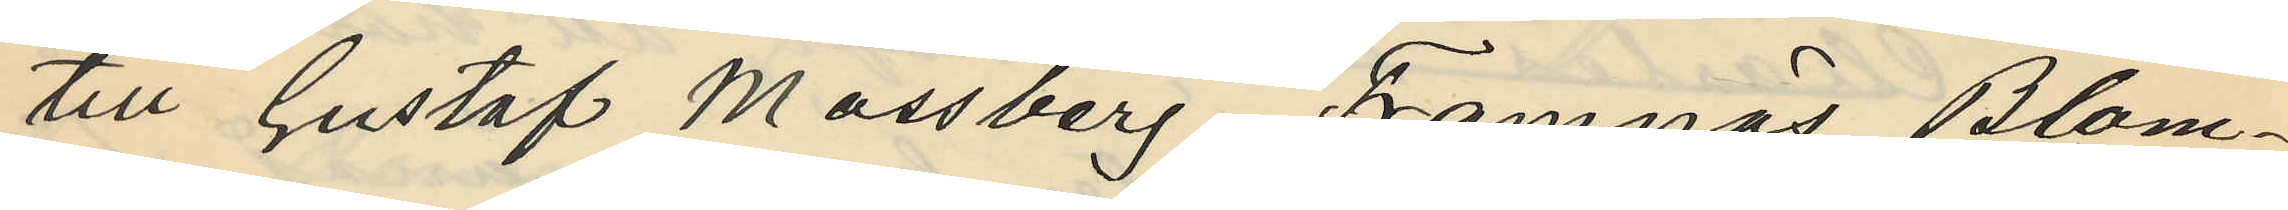till Gustaf Mossberg, Framnäs Blom¬
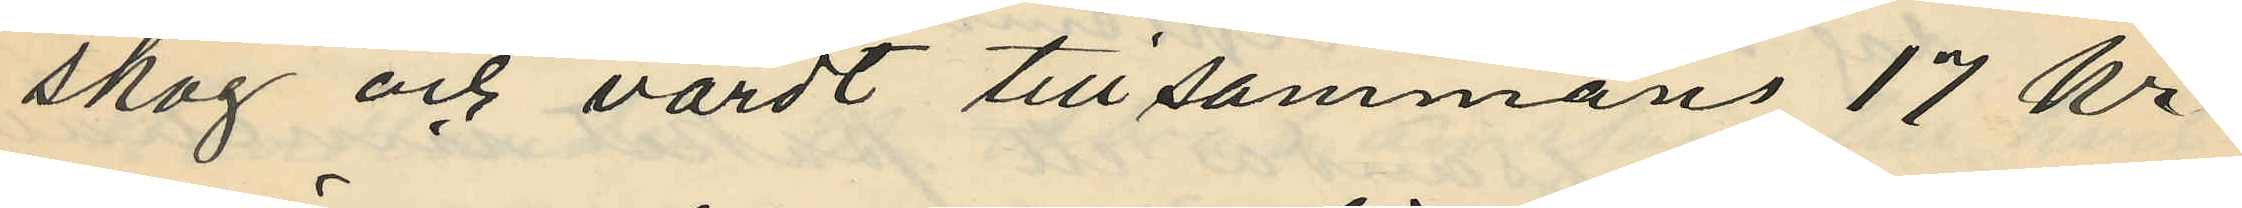skog och värdt tillsammans 17 kr.
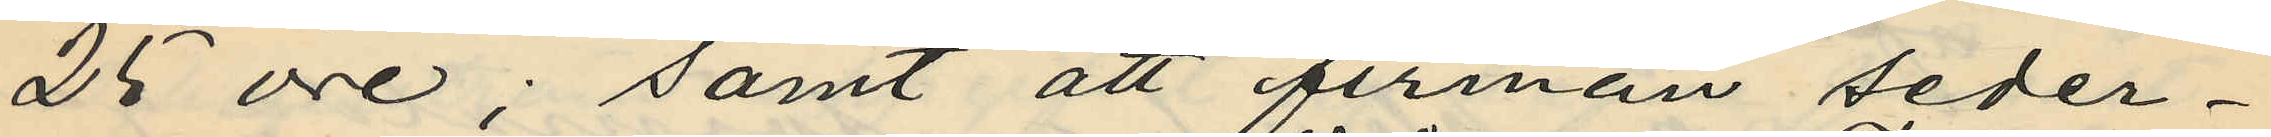25 öre; samt att firman seder¬
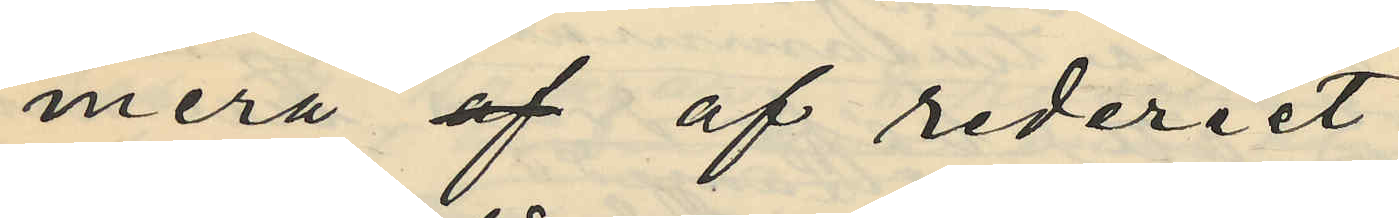mera af af rederiet
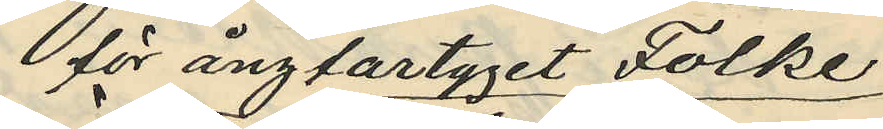för ångfartyget Folke
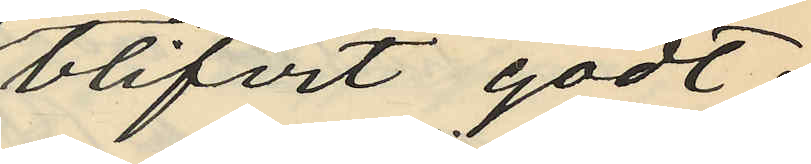blifvit godt¬
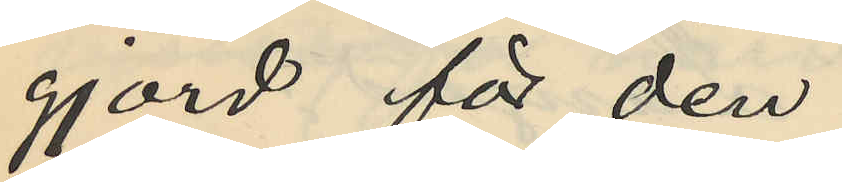gjord för den
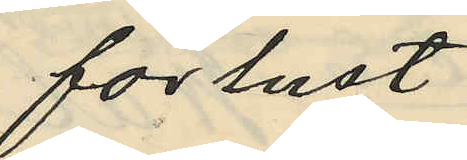förlust
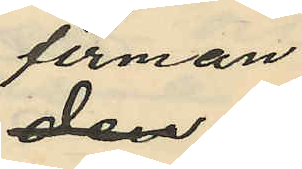firman
